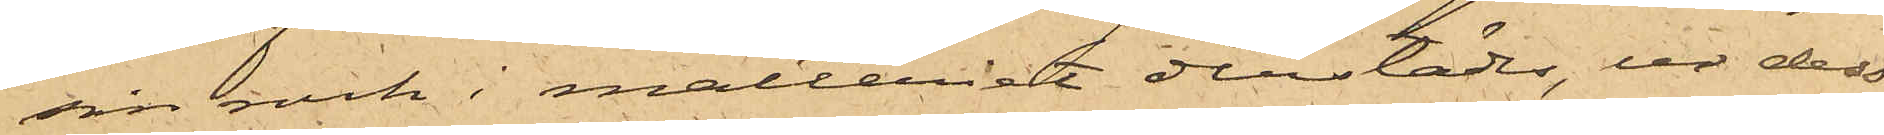sin rock i mälteriet derstädes, ur dess
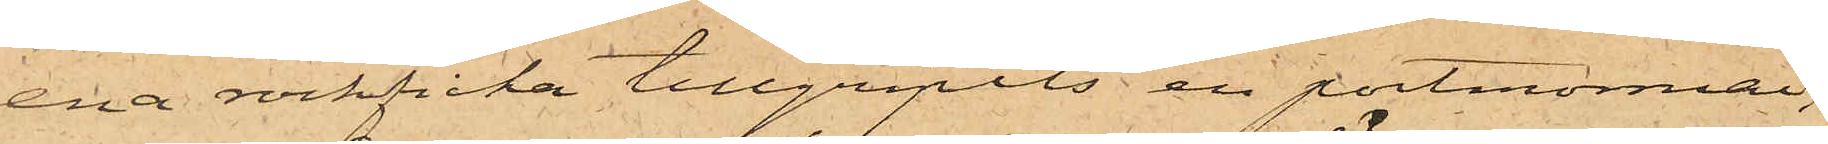ena rockficka tillgripits en portmonnai,
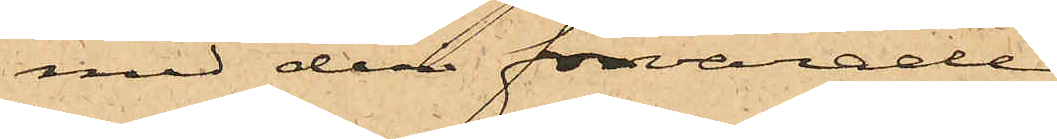med deri förvarade
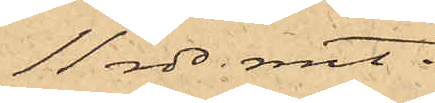11 rdr rmt.
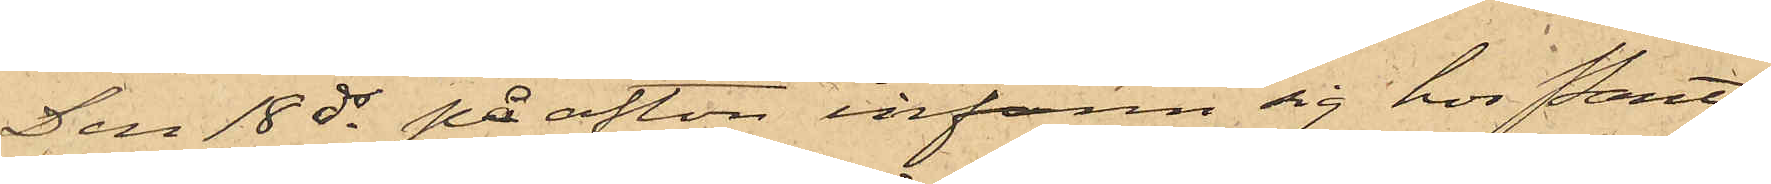Den 18 ds på afton infann sig hos Pant¬
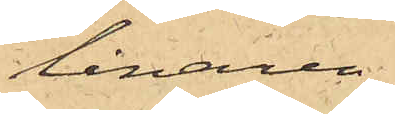lånaren
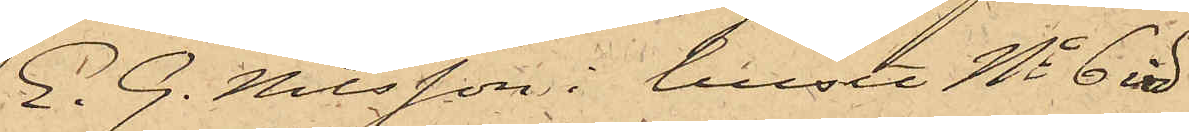E. G. Nilsson i huset No 6 vid
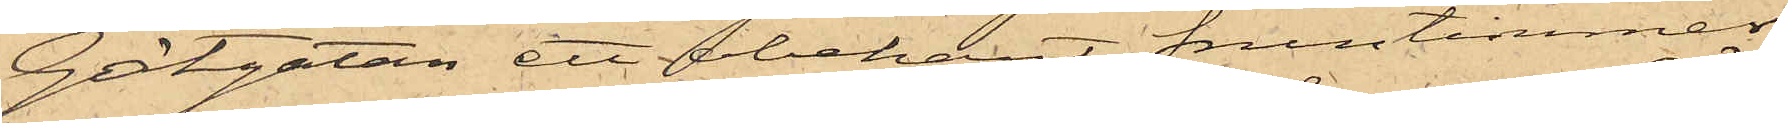Götgatan ett obekant fruntimmer
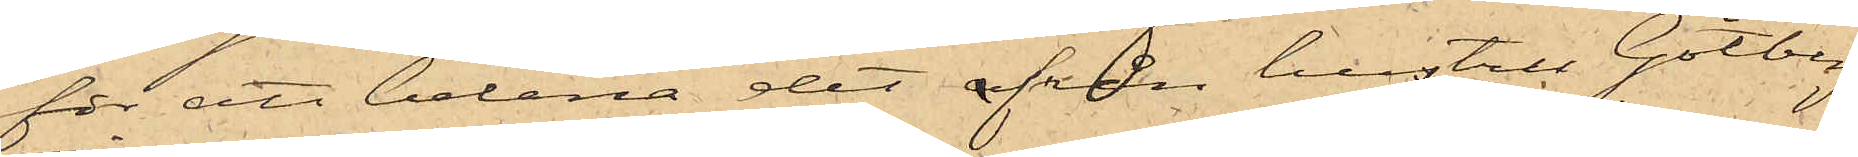för att belåna det afrån hustru Götberg
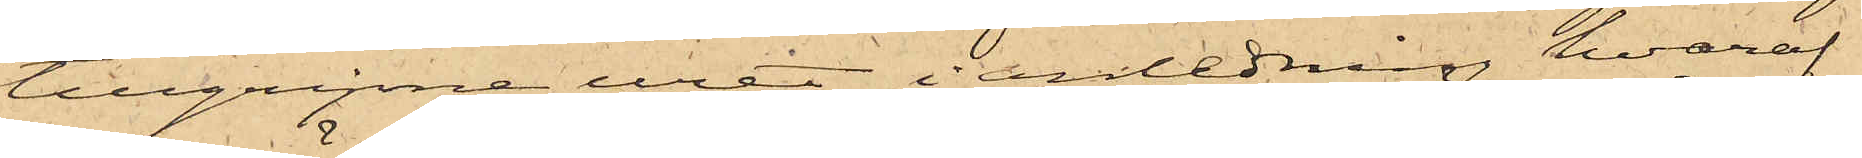tillgripne uret, i anledning hvaraf
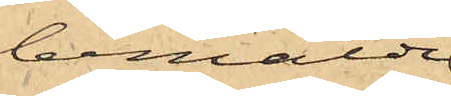bemälde
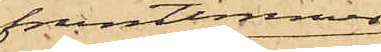fruntimmer
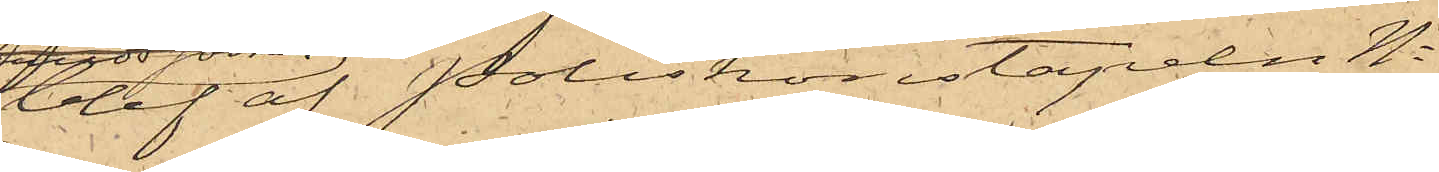blef af Poliskonstapeln No 
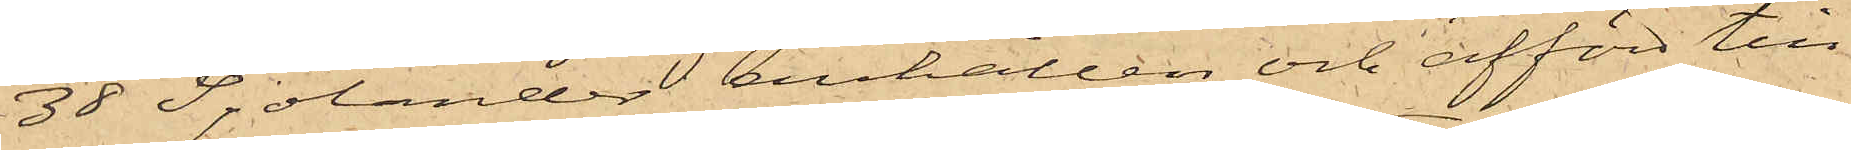38 Sjölander anhållen och afförd till
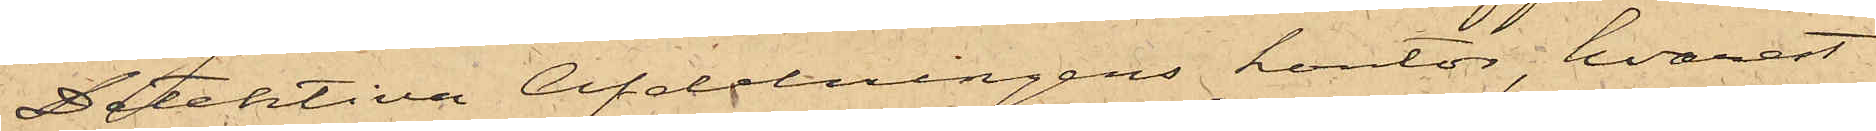Detektiva afdelningens kontor, hvarest
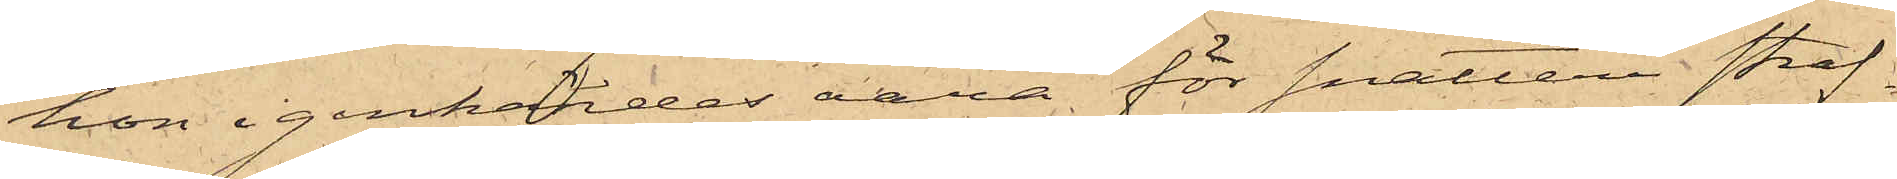hon igenkändes vara för snatteri straf¬
